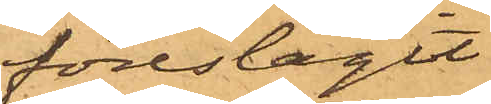föreslagit
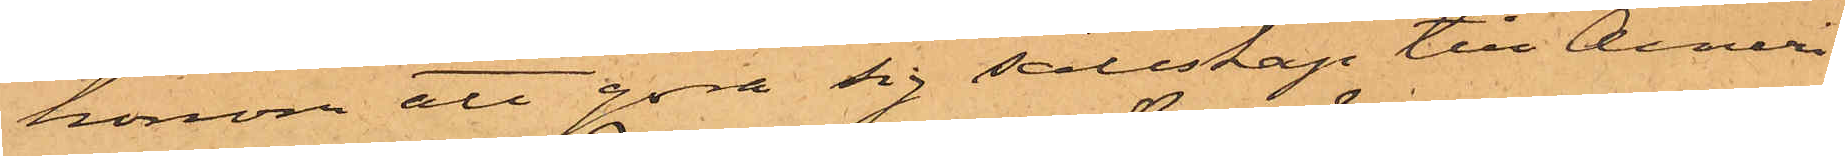honom att göra sig sällskap till Ameri¬
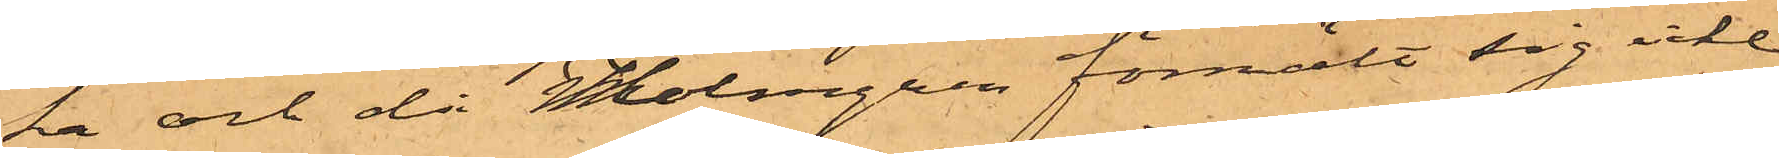ka och då Holmgren förmält sig icke
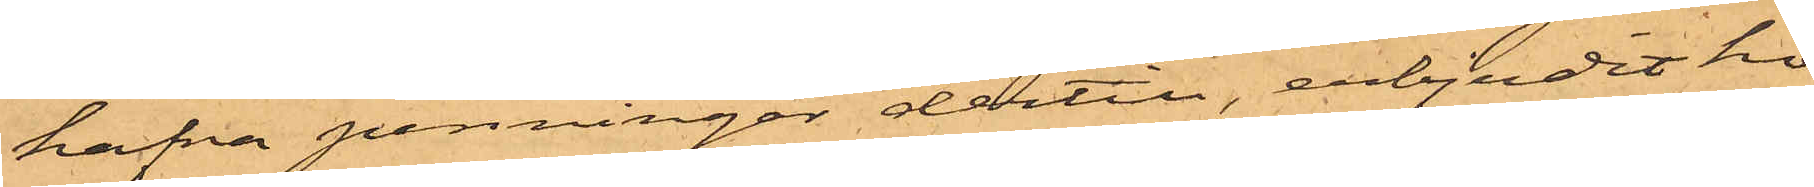hafva penningar dertill, erbjudit ho¬
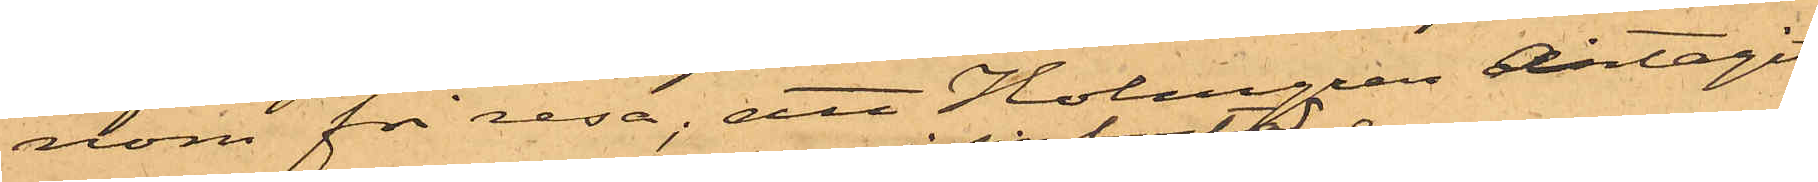nom fri resa; att Holmgren antagit
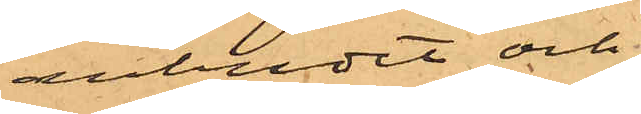anbudet och
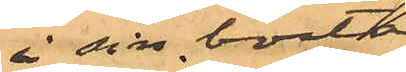i sin bostad
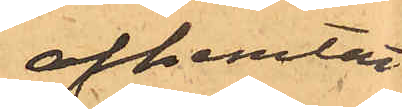afhemtat
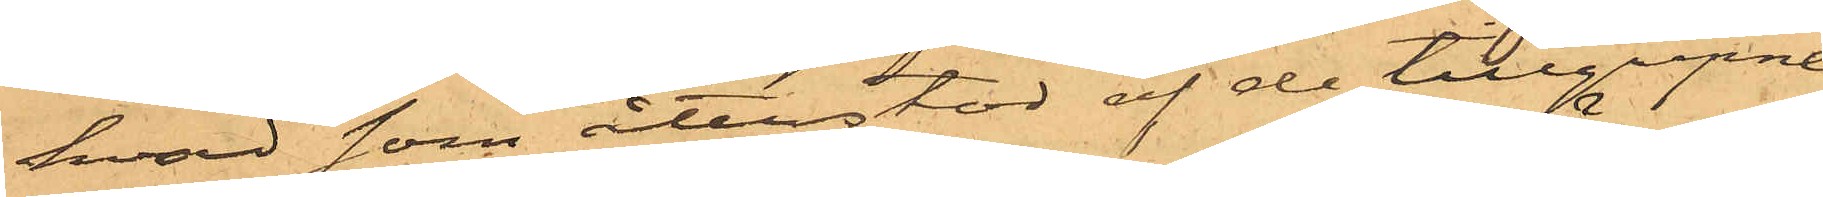hvad som återstod af de tillgripne
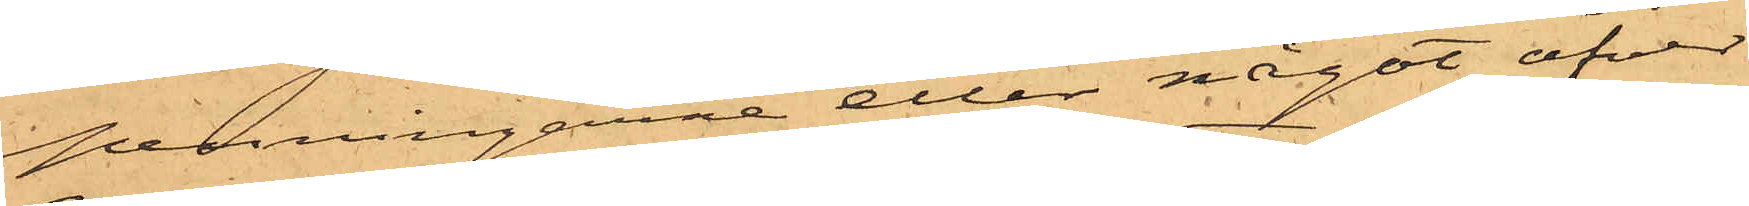penningarne eller något öfver
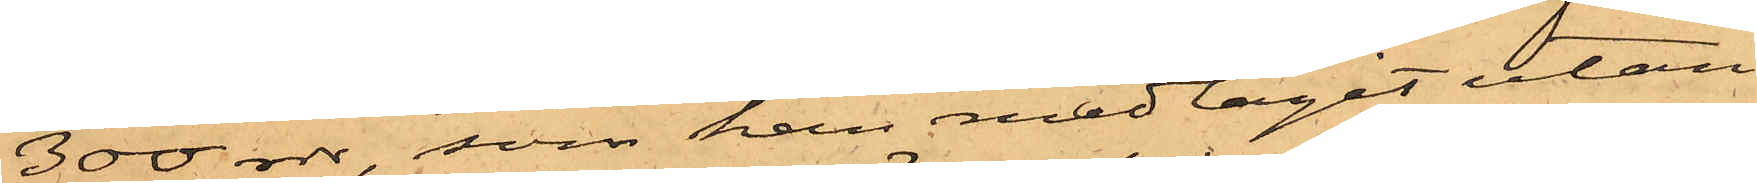300 rdr, som han medtagit utan
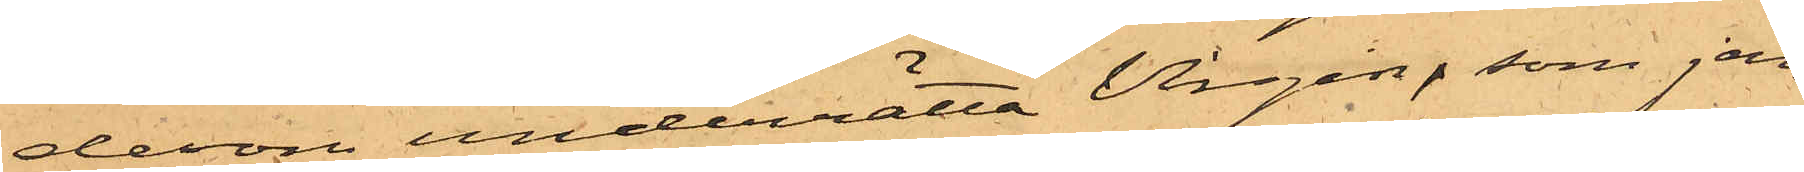derom underrätta Virgin, som jem¬
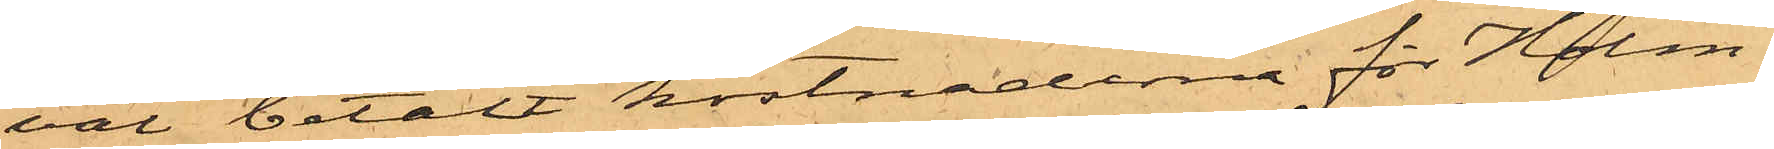väl betalt kostnaderna för Holm¬
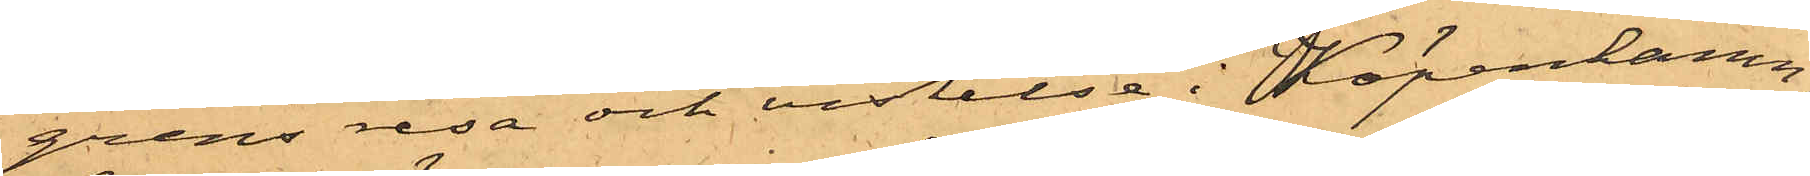grens resa och vistelse i Köpenhamn,
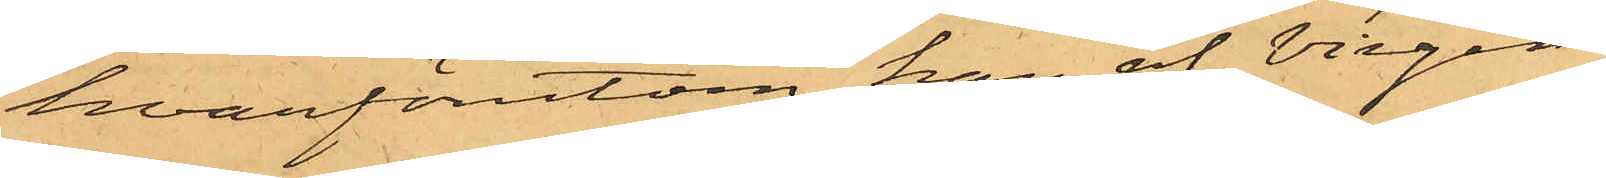hvarförutom han af Virgin
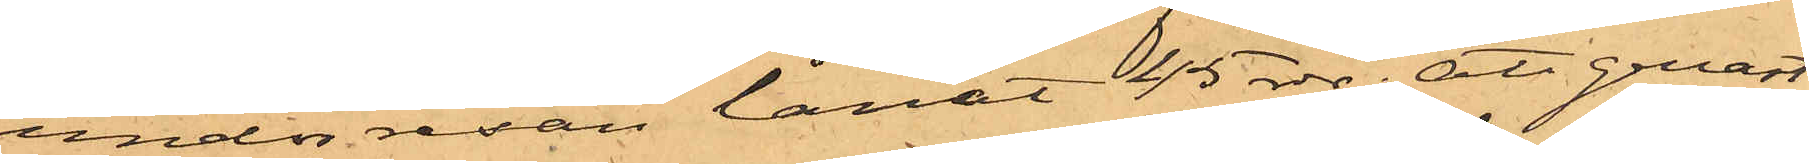under resan lånat 45 rdr; att genast
